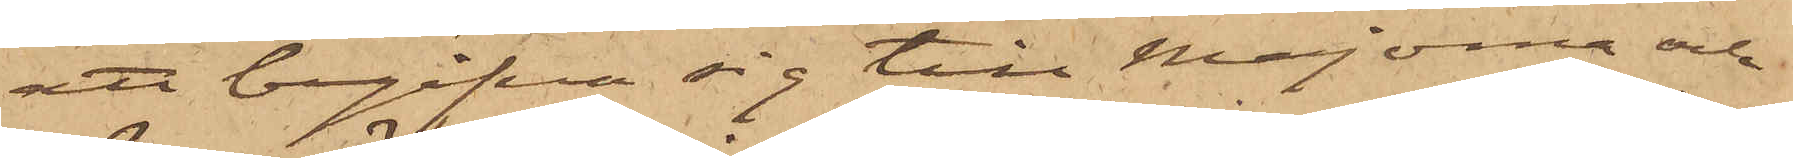att begifva sig till Majorna och
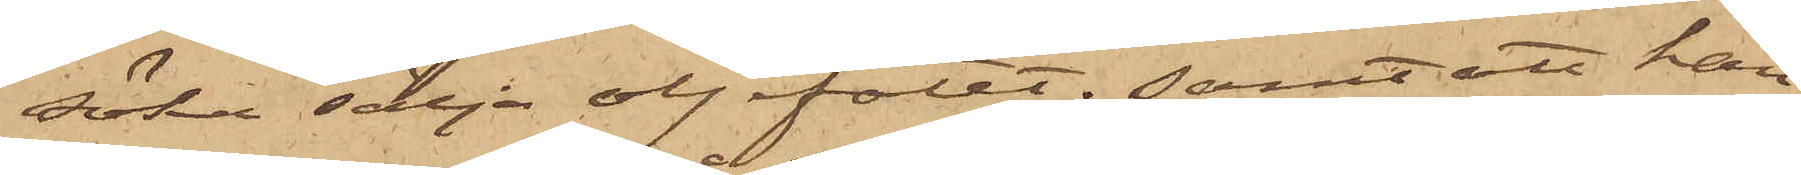söka sälja oljefatet; samt att han
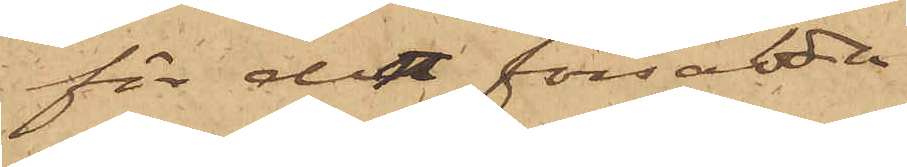för den försålda
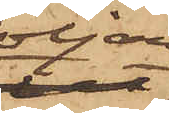oljan,
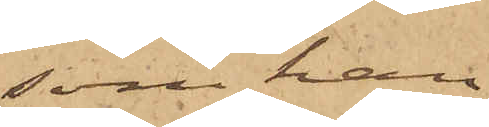som han
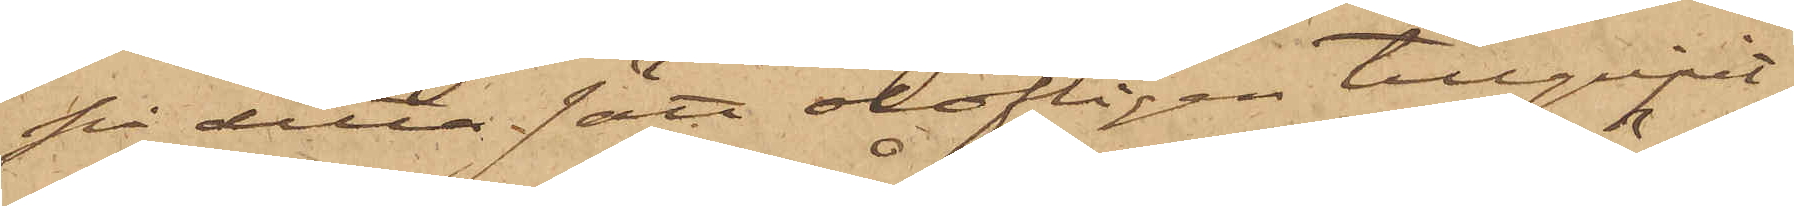på detta sätt olofligen tillgripit,
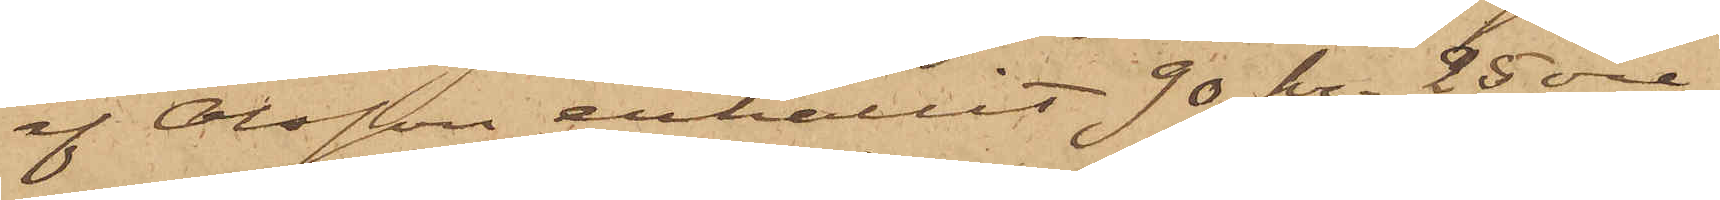af Olsson erhållit 90 kr. 25 öre,
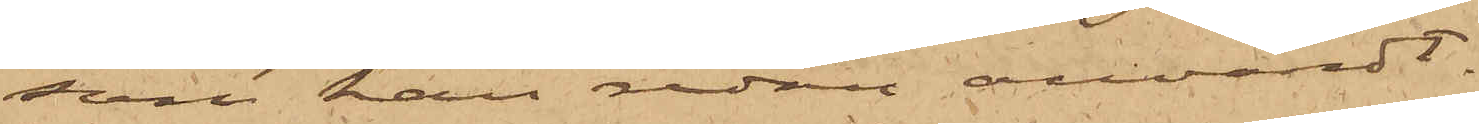som han redan användt.
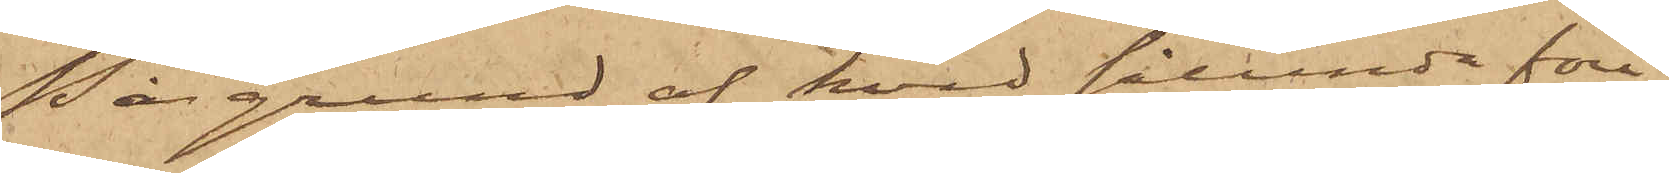På grund af hvad sålunda före¬
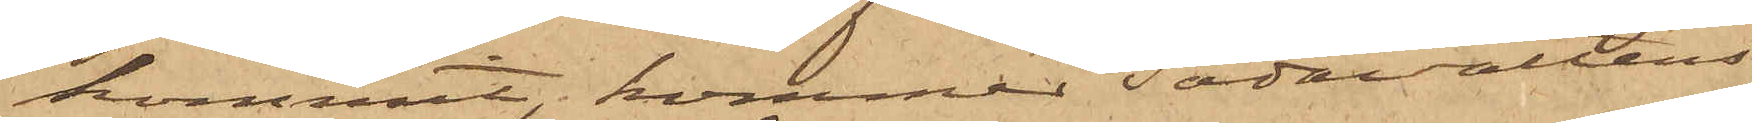kommit, kommer Sodavattens¬
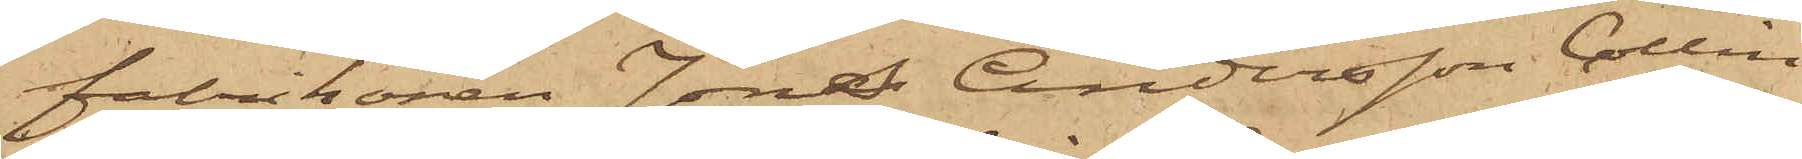fabrikören Jöns Andersson Collin
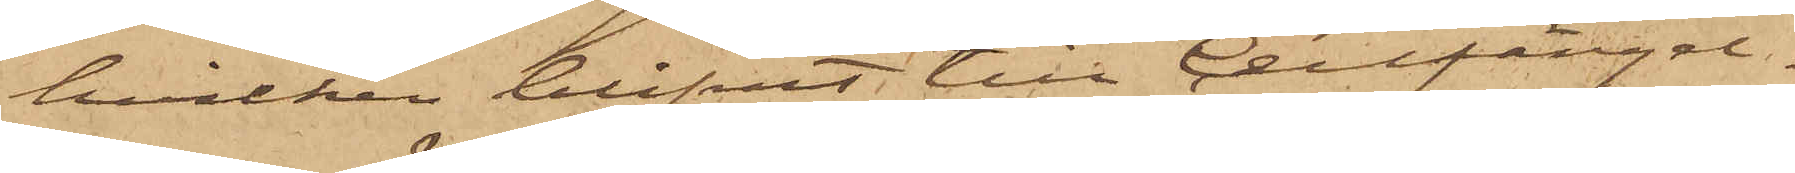hvilken blifvit till Cellfängel¬
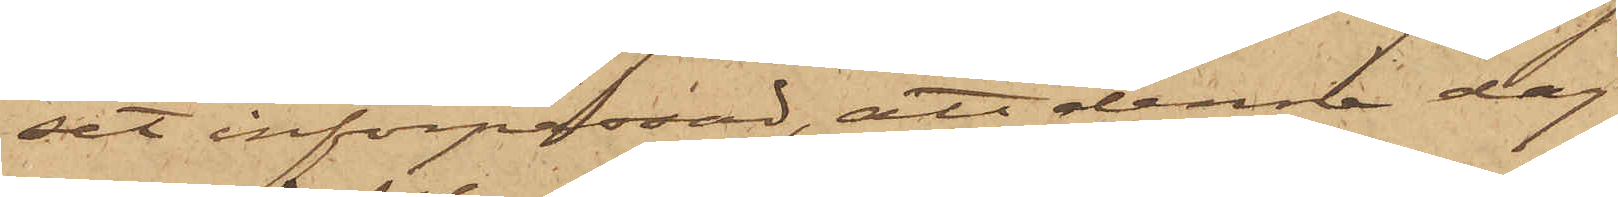set införpassad, att denna dag
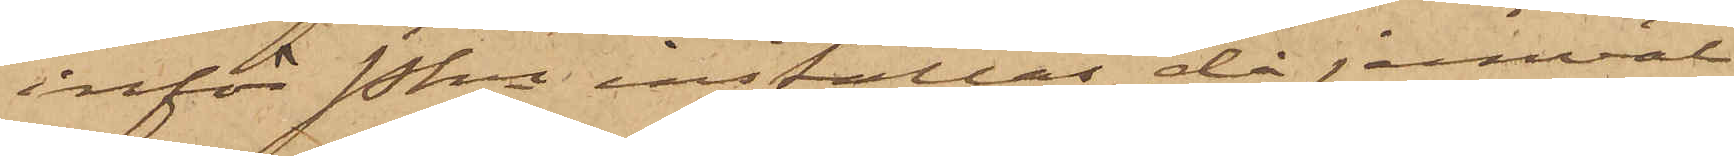inför Pkn inställas, då jemväl
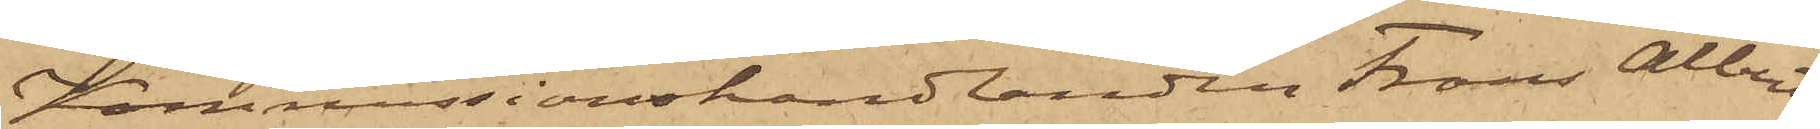Kommissionshandlanden Frans Albert
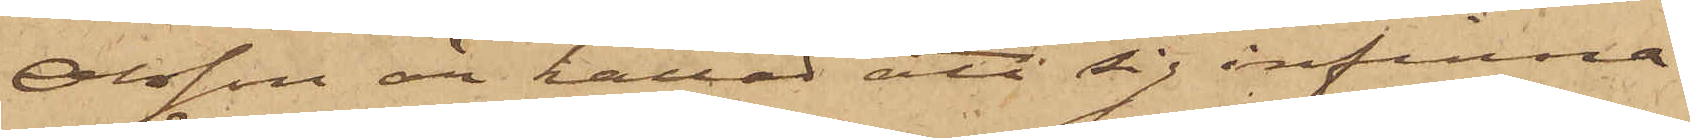Olsson är kallad att sig infinna
